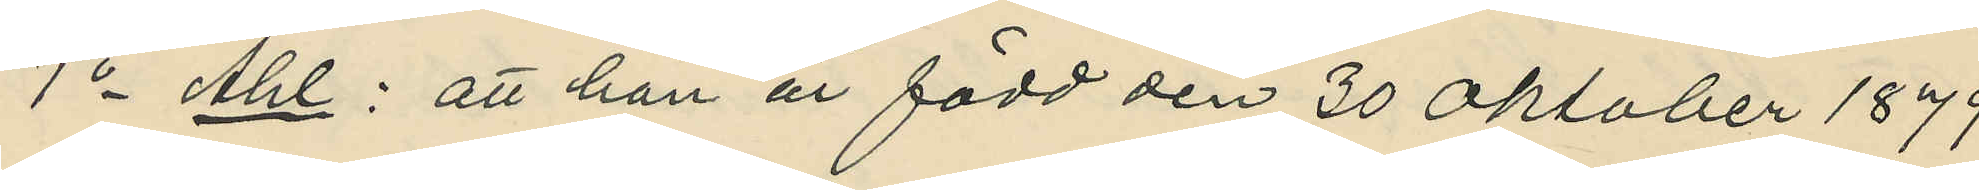1o Ahl : att han är född den 30 Oktober 1879
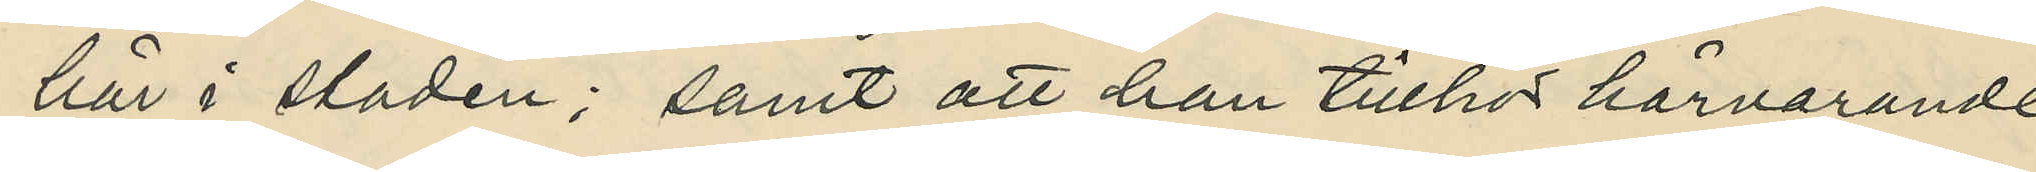här i staden; samt att han tillhör härvarande
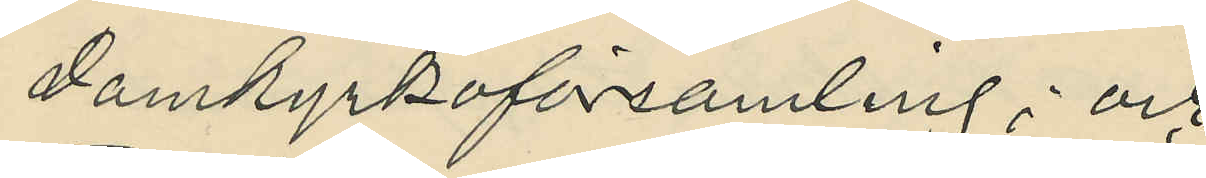Domkyrkoförsamling; och
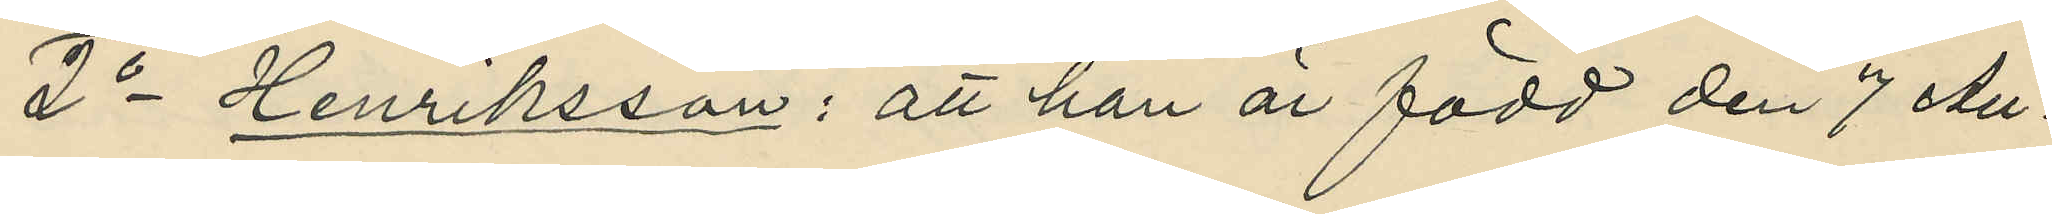2o Henriksson : att han är född den 7 Au¬
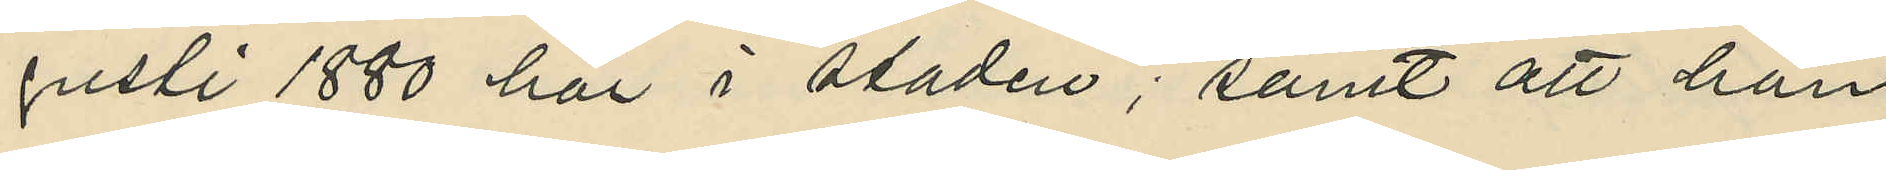gusti 1880 här i staden; samt att han
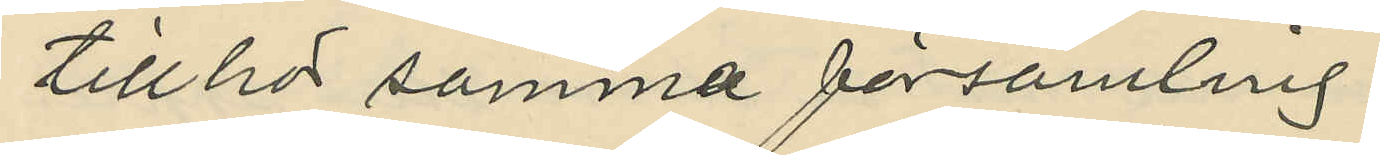tillhor samma församling.
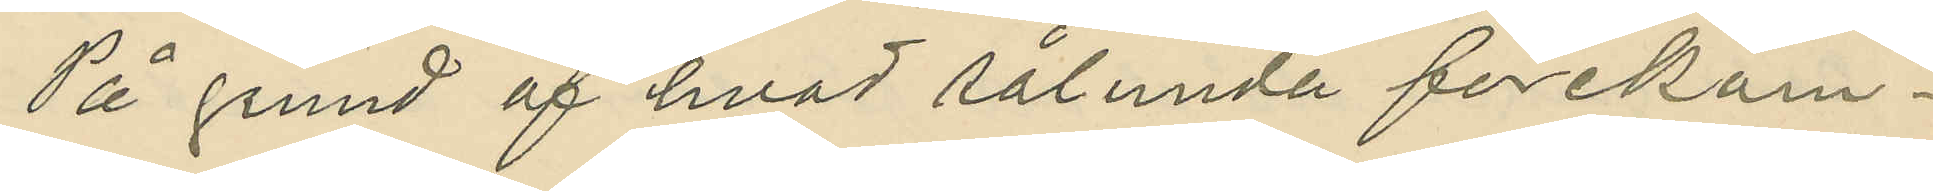På grund af hvad sålunda förekom¬
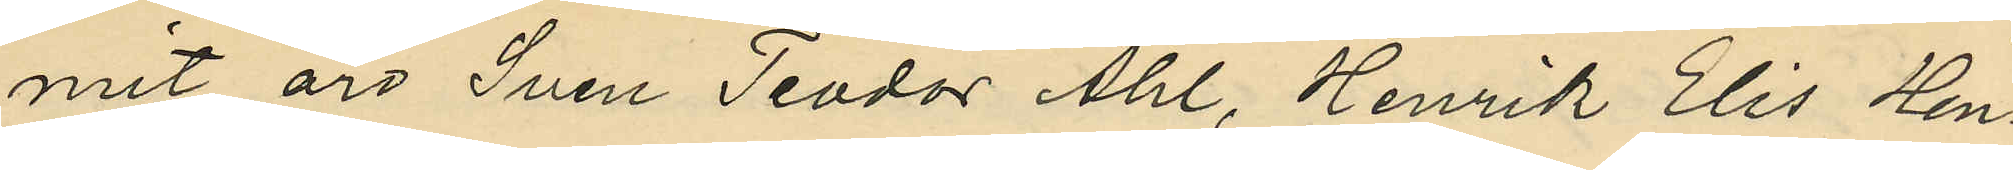mit äro Sven Teodor Ahl, Henrik Elis Hen¬
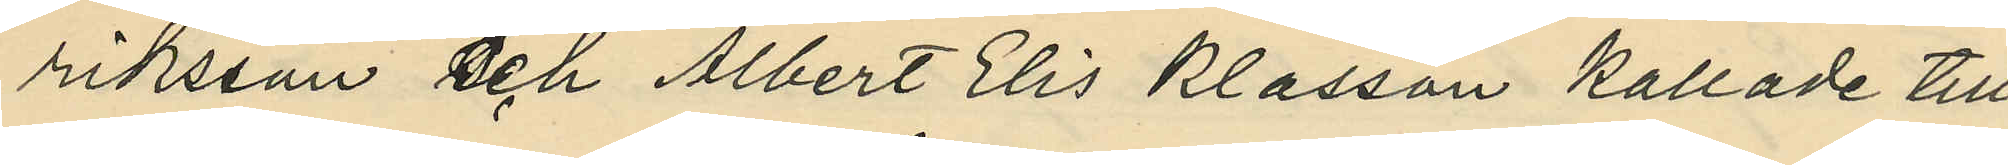riksson och Albert Elis Klasson kallade till
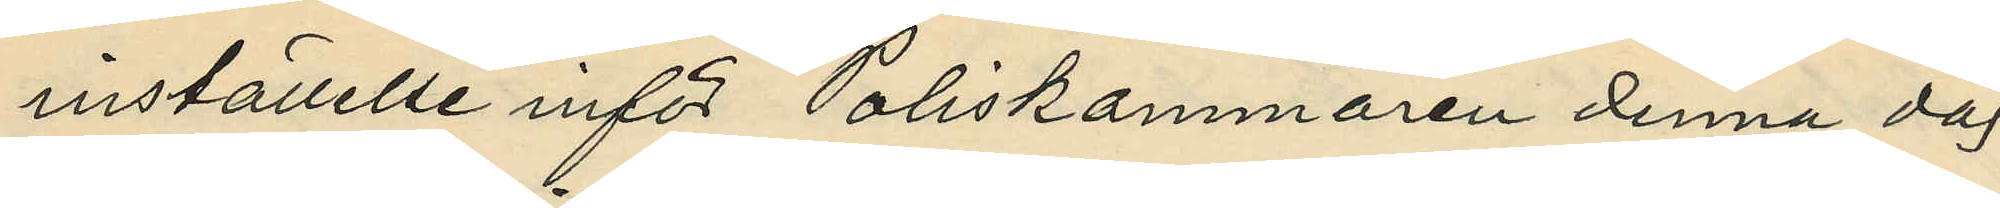inställelse inför Poliskammaren denna dag,
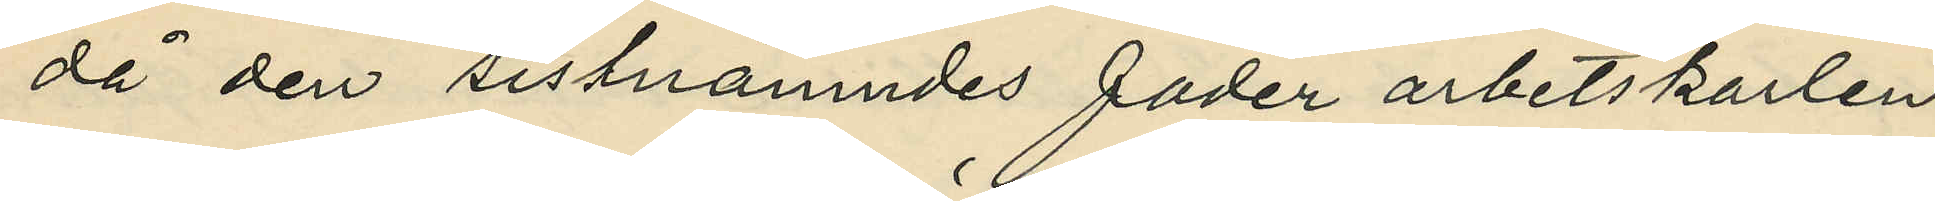då den sistnämndes fader arbetskarlen
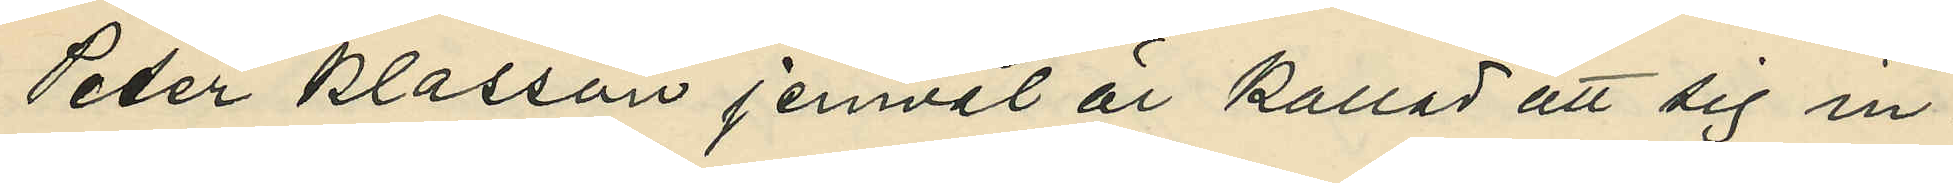Peter Klasson jemväl är kallad att sig in¬
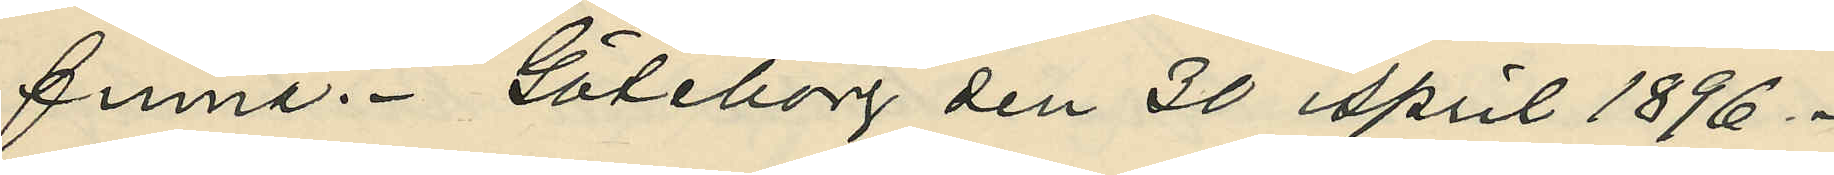finna. Göteborg den 30 april 1896.
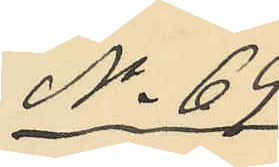No 69
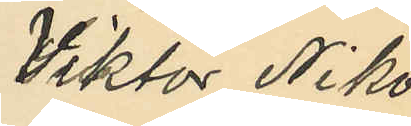Viktor Niko¬
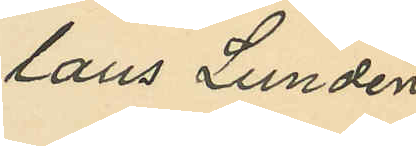laus Lundén
